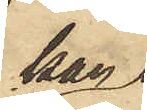kan
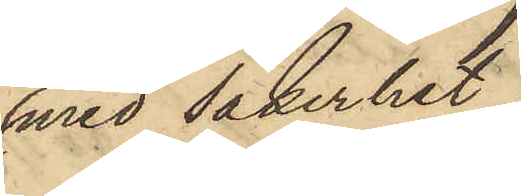med säkerhet
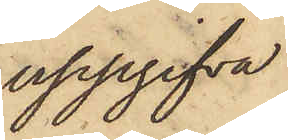uppgifva
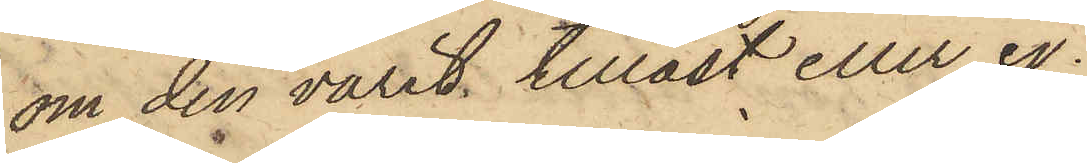om den varit tillåst eller ej;
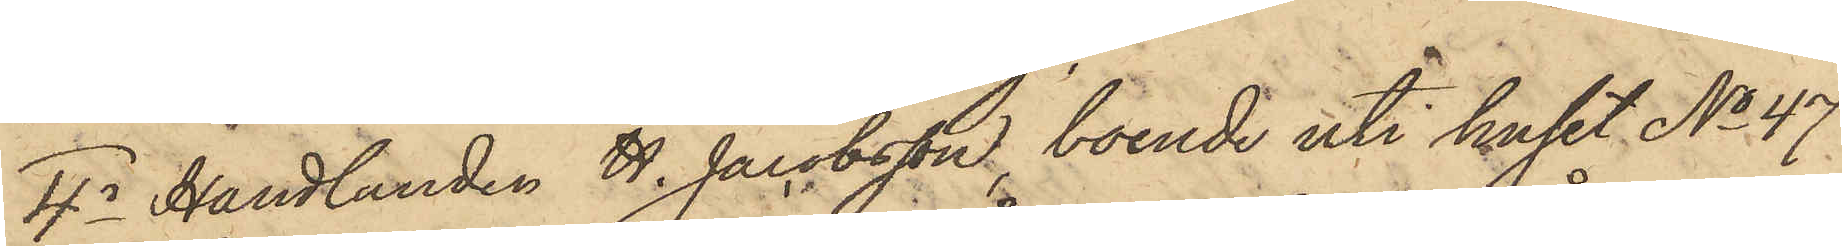4o Handlanden H. Jacobsson, boende uti huset No 47
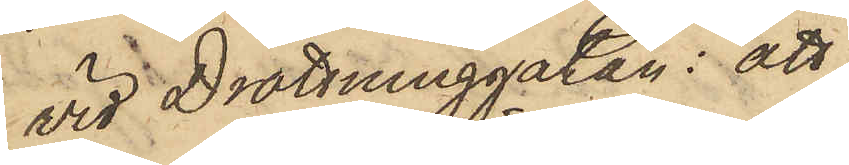vid Drottninggatan: att
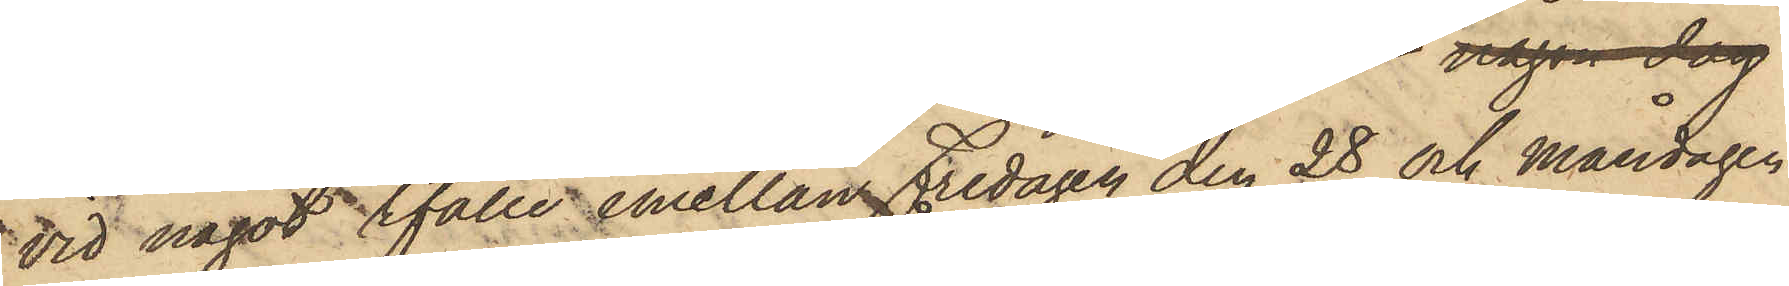vid något tfälle emellan Fredagen den 28 och måndagen
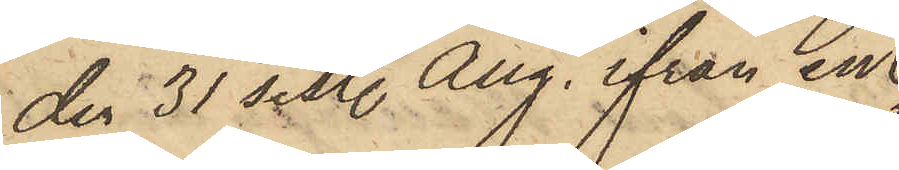den 31 sist. Aug. ifrån en
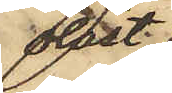olåst
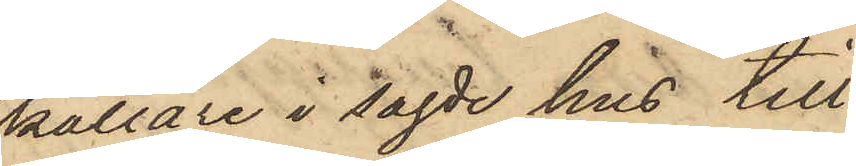källare i sagde hus till¬
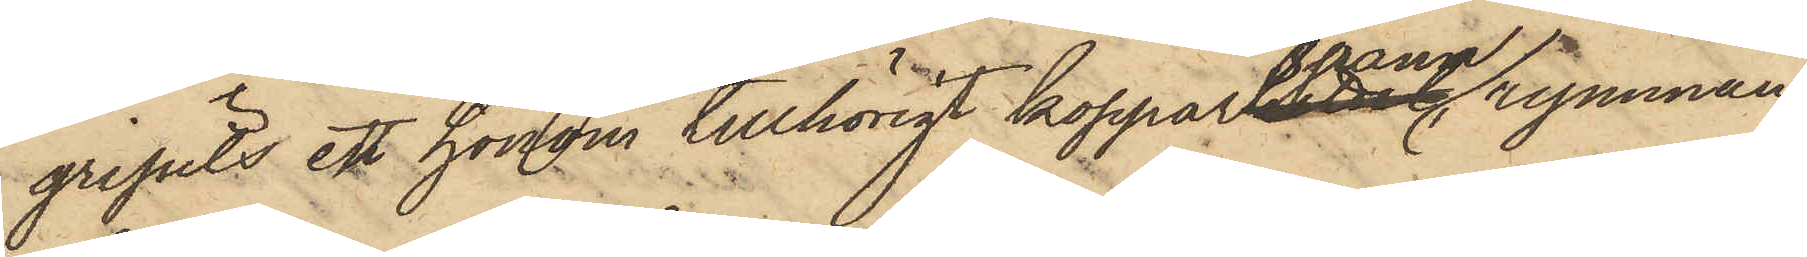gripits en honom tillhörig kopparspann rymman¬
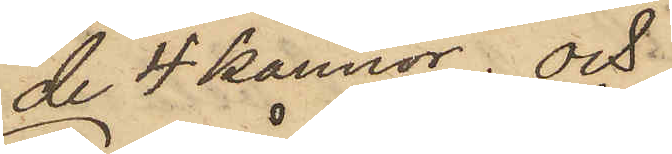de 4 kannor; och
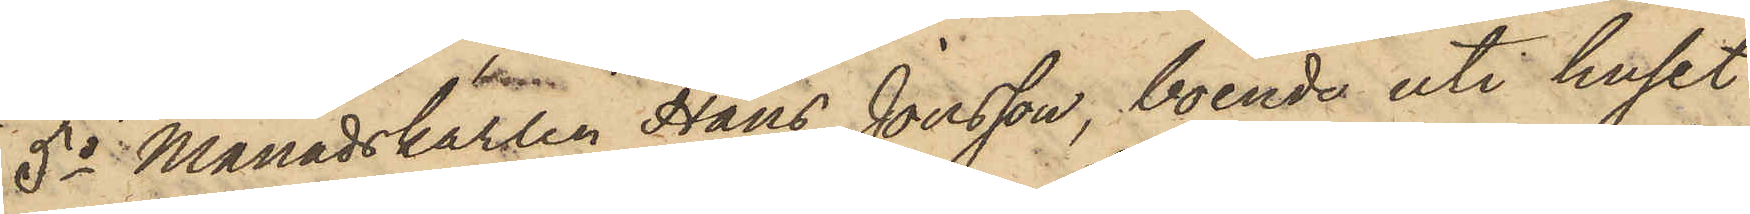5o Månadskarlen Hans Jonsson, boende uti huset
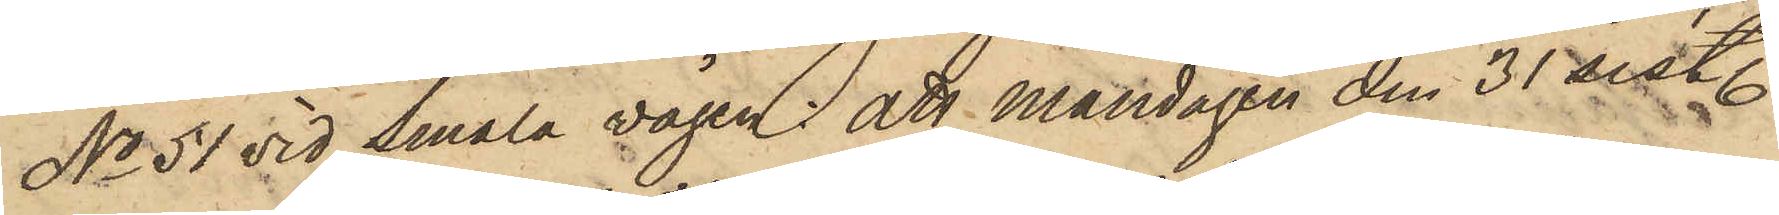No 51 vid Smala vägen; att Måndagen den 31 sistl.
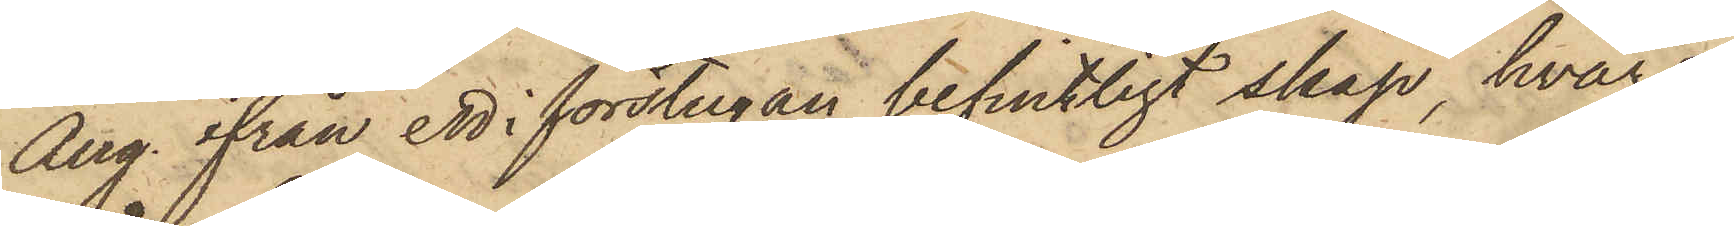Aug. ifrån ett i förstugan befintligt skåp, hvars
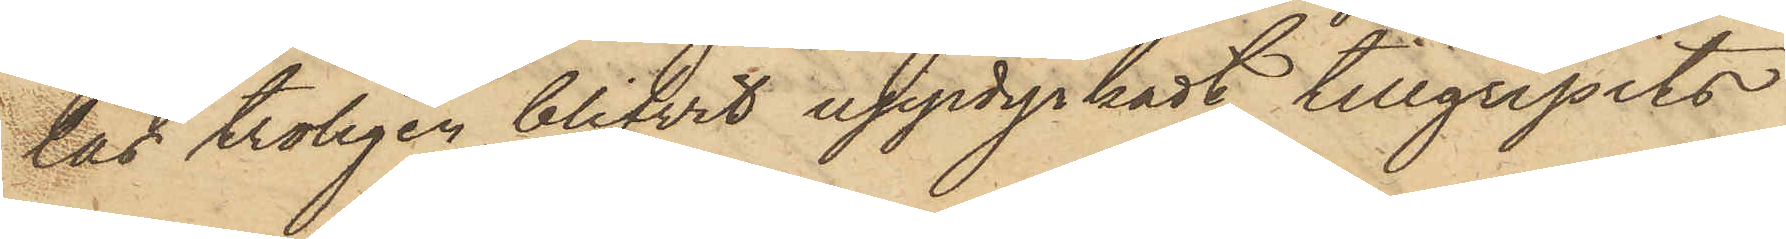lås troligen blifvit uppdyrkadt, tillgripits
